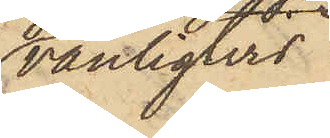vanligtvis
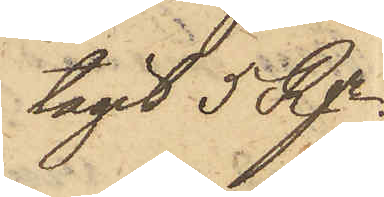tagit 5Rgr;
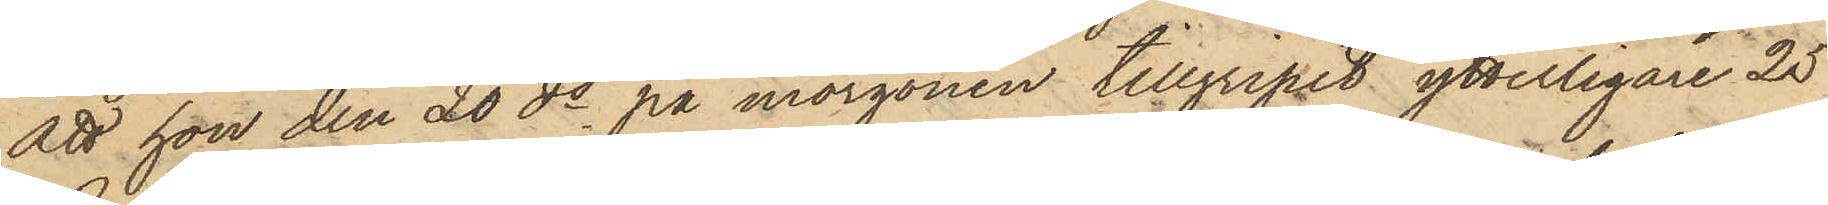att hon den 20 ds på morgonen tillgripit ytterligare 25
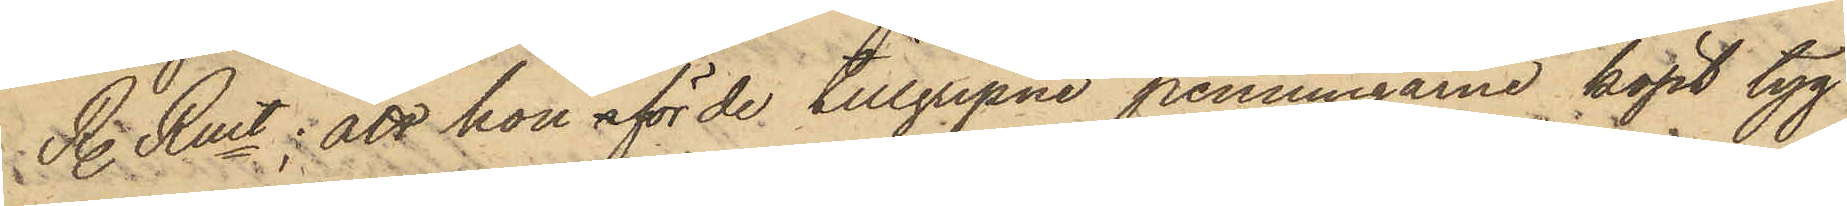R Rmt: att hon för de tillgripne penningarne köpt tyg
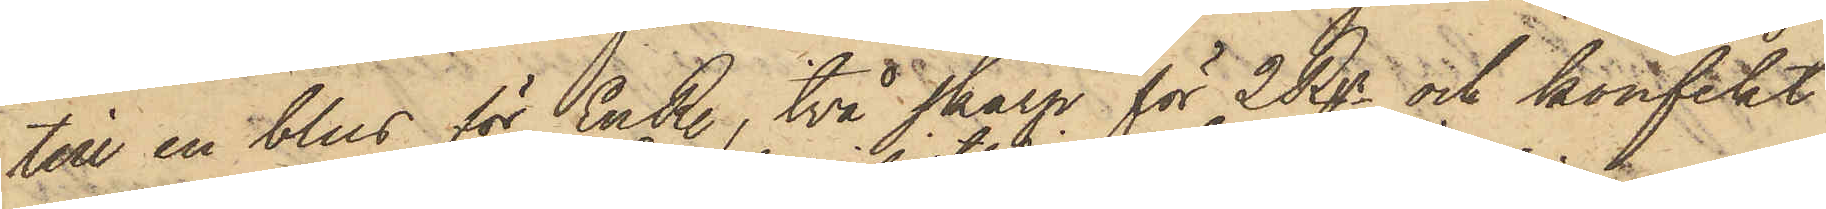till en blus för En R, två skärp för 2 Rgr och konfekt
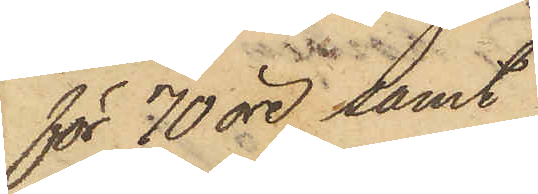för 70 öre samt
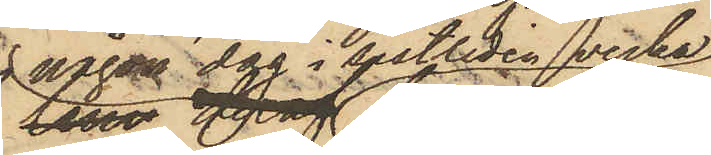någon dag i sistliden vecka
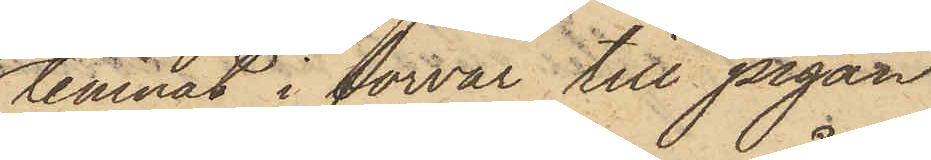lemnat i förvar till pigan
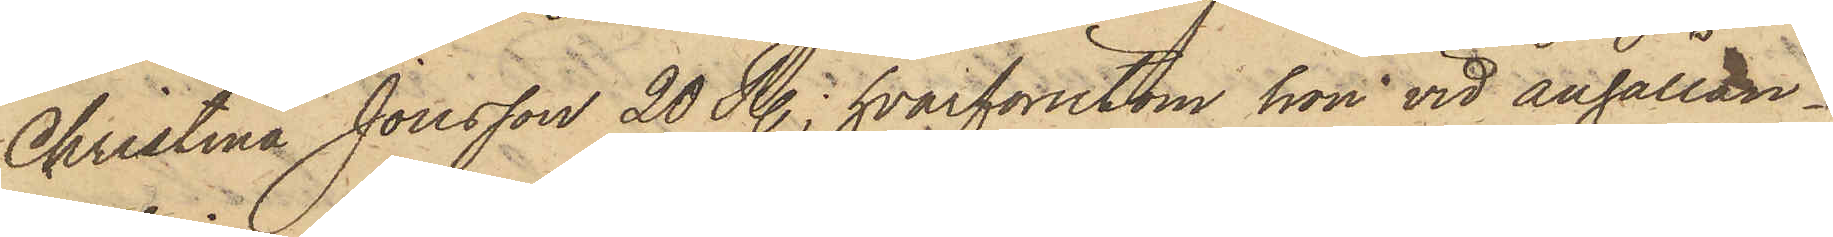Christina Jonsson 20 R.; hvarförutom hon vid anhållan¬
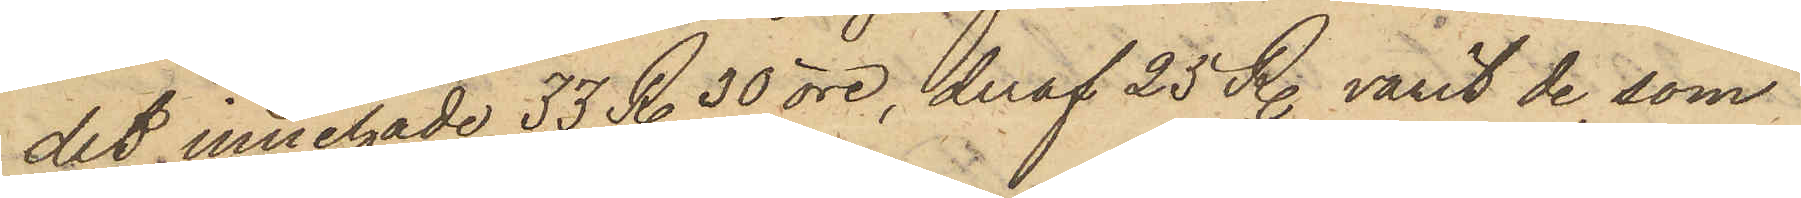det innehade 33 R. 30 öre, deraf 25 R. varit de, som
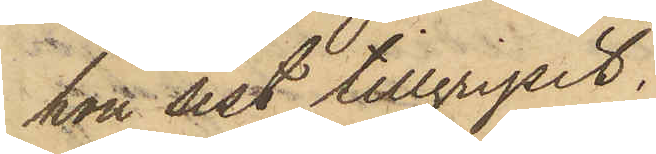hon sist tillgripit.
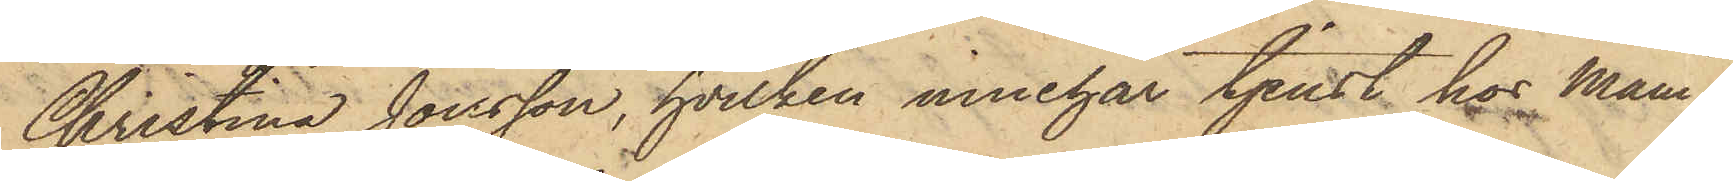Christina Jonsson, hvilken innehar tjenst hos Mam¬
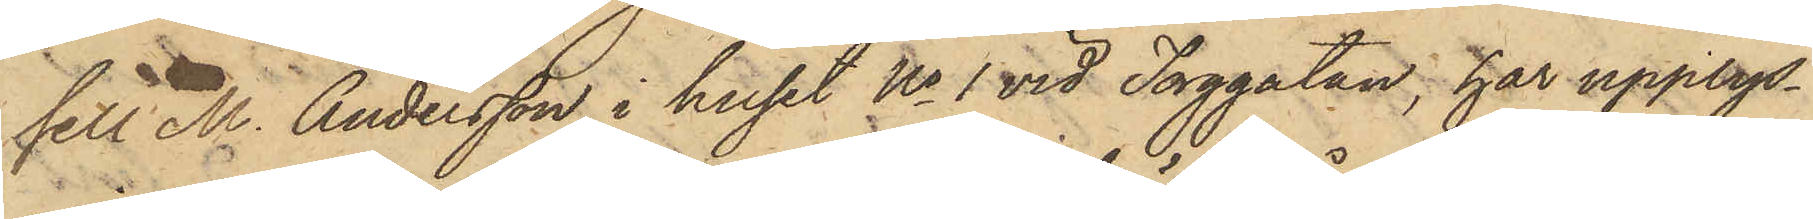sell M. Andersson i huset No 1 vid Torggatan, har upplys¬
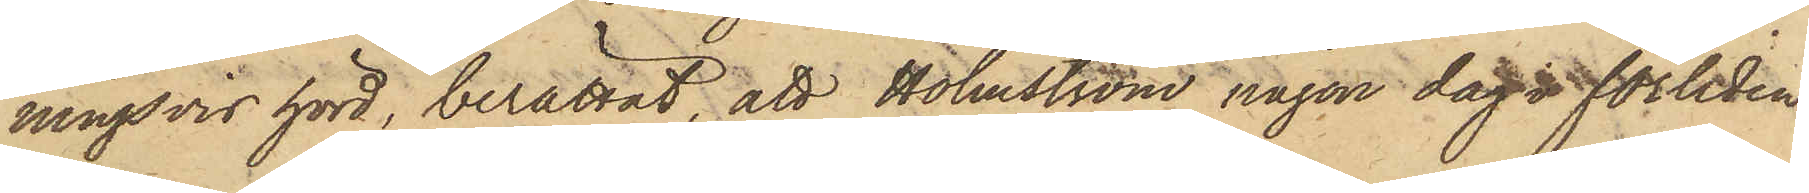ningsvid hörd, berättat, att Holmström någon dag i förliden
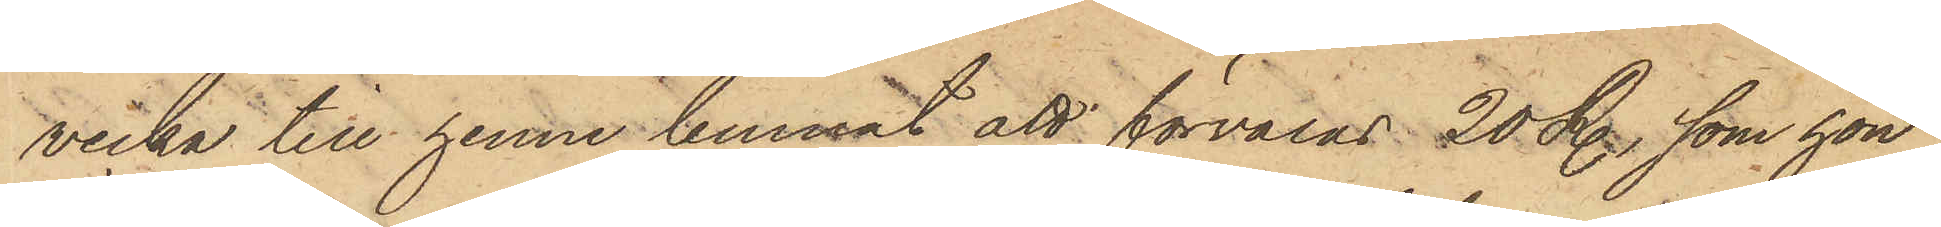vecka till henne lemnat att förvaras 20 R., som hon
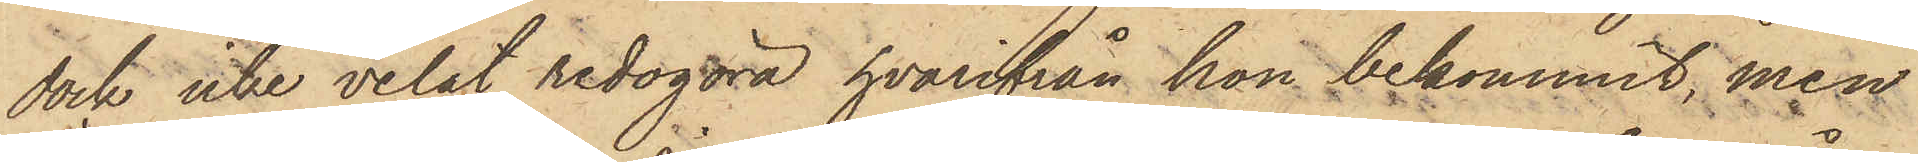dock icke velat redogöra, hvarifrån hon bekommit, men
